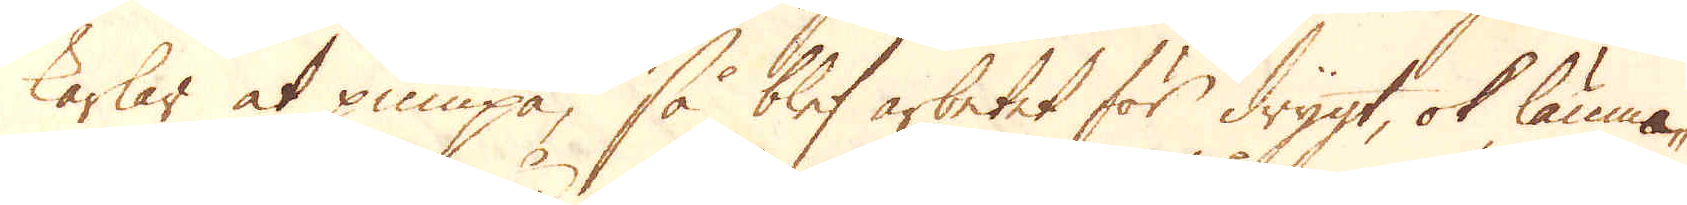karlar at pumpa, så blef arbetet för drygt, ok lämna-
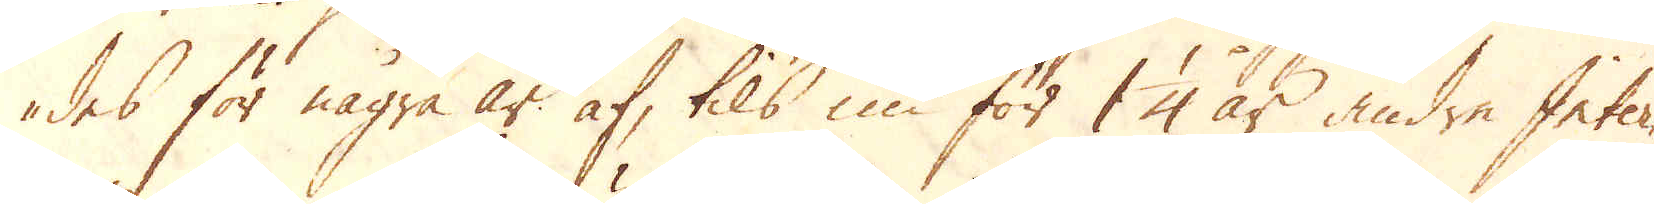des för några år af, tils nu för 1 1/4 år andra Inter-
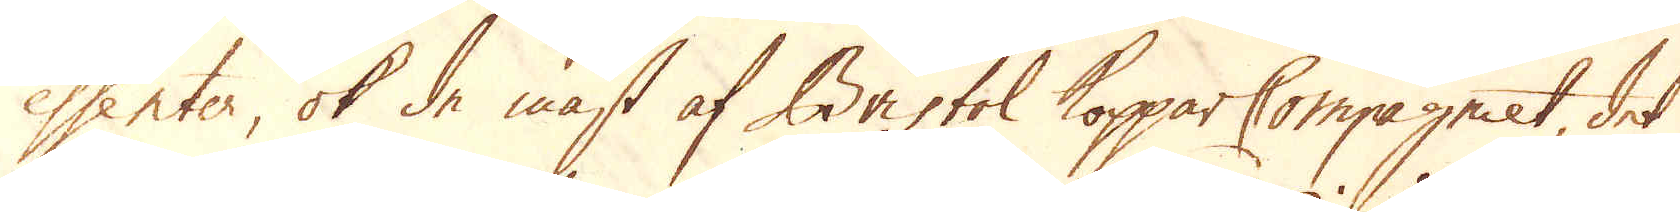essenter, ok de mäst af Bristol Koppar Compagniet, det
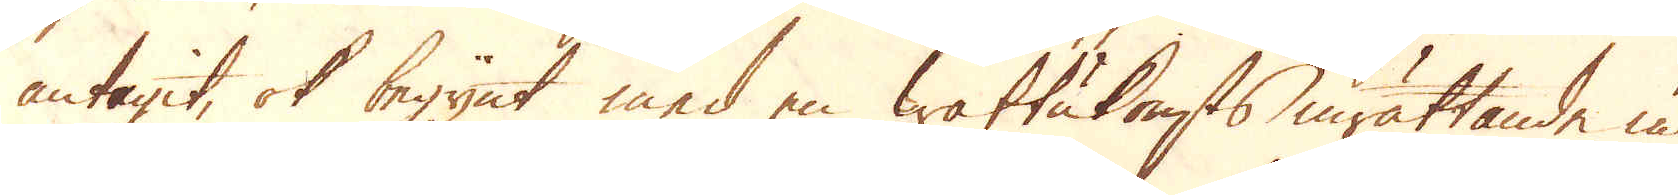antagit, ok begynt med en wattukonsts inrättande un-
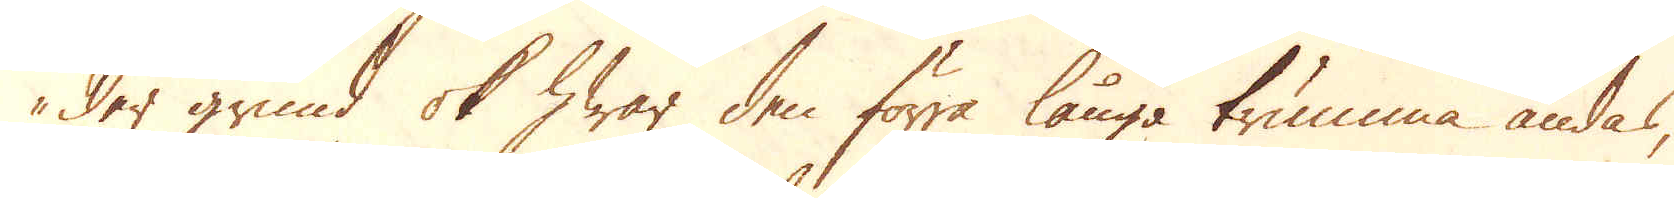der grund ok hwar den förra långa trumma ändas,
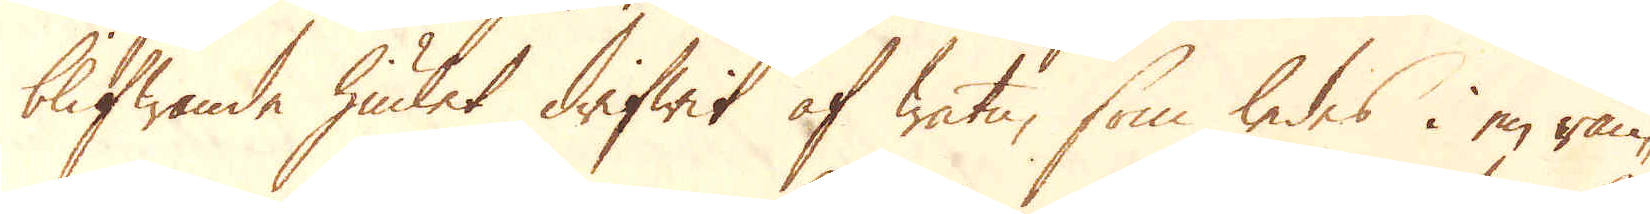blifwande hiulet drifwit af watn, som ledes i en rän-
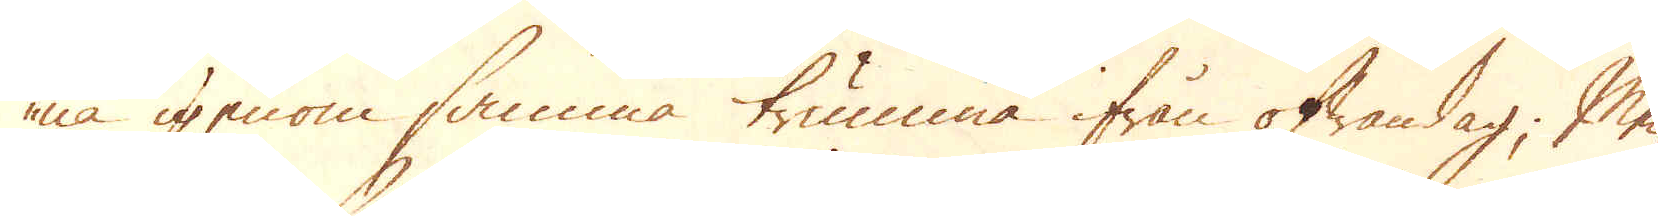na igenom samma trumma ifrån ofwandag; Men
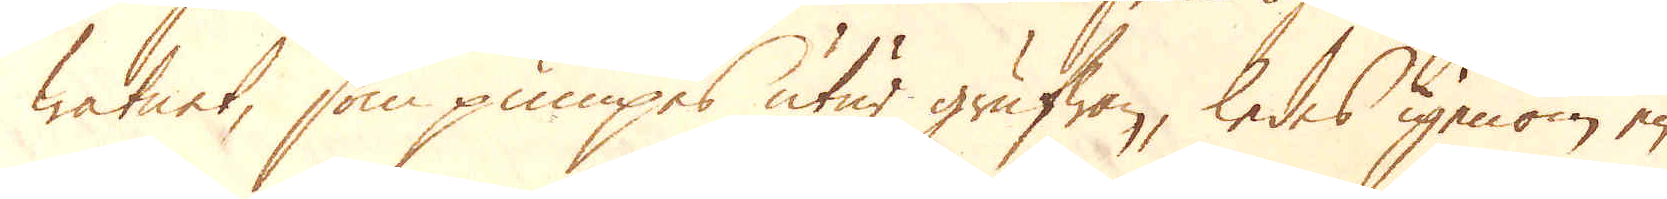watnet, som pumpes utur grufwan, ledes igenom en
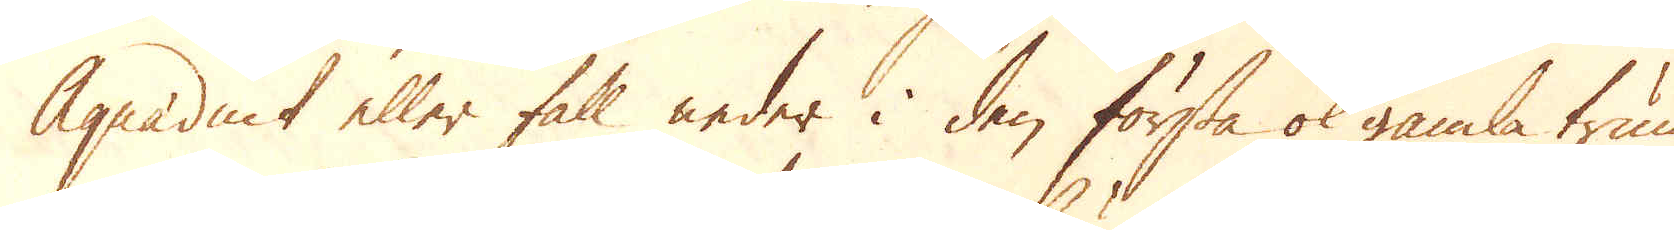Aquaduct eller fall neder i den första ok gamla trum-
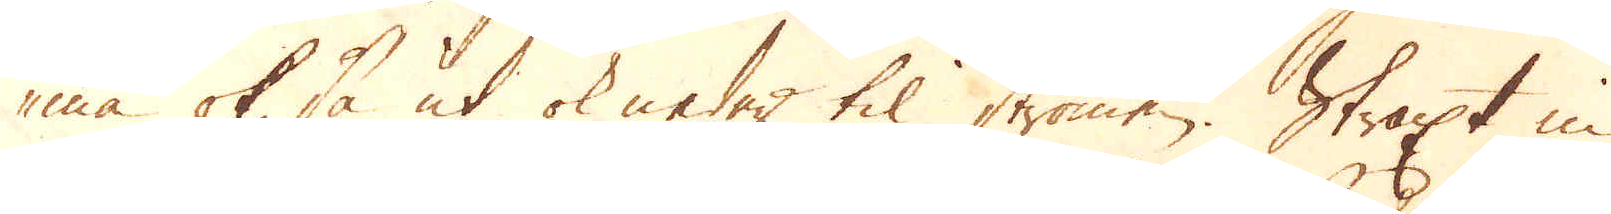ma ok så ut ok neder til strömen. Straxt in
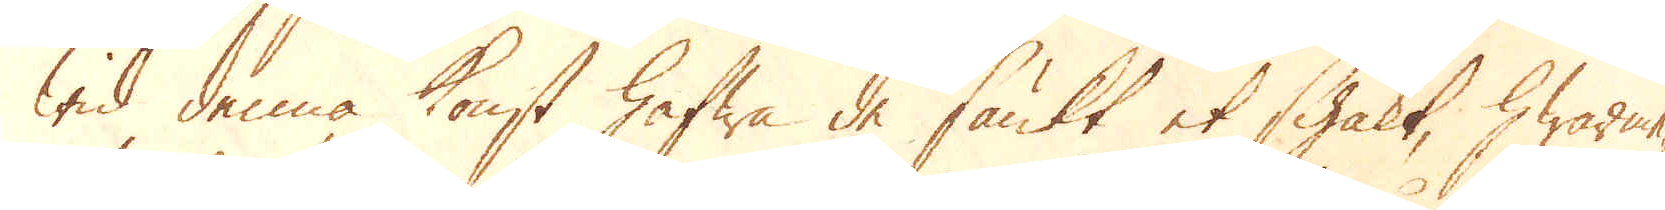wid denna konst hafwa de sänkt et schakt, hwarme-
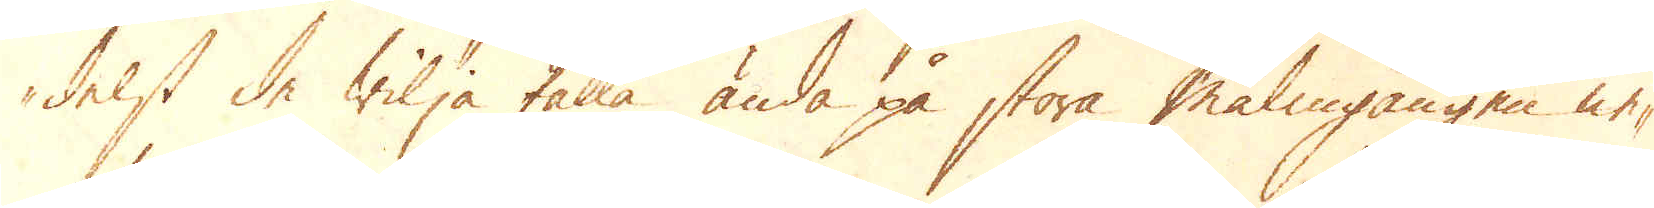delst de wilja fatta ända på stora malmgången ne-
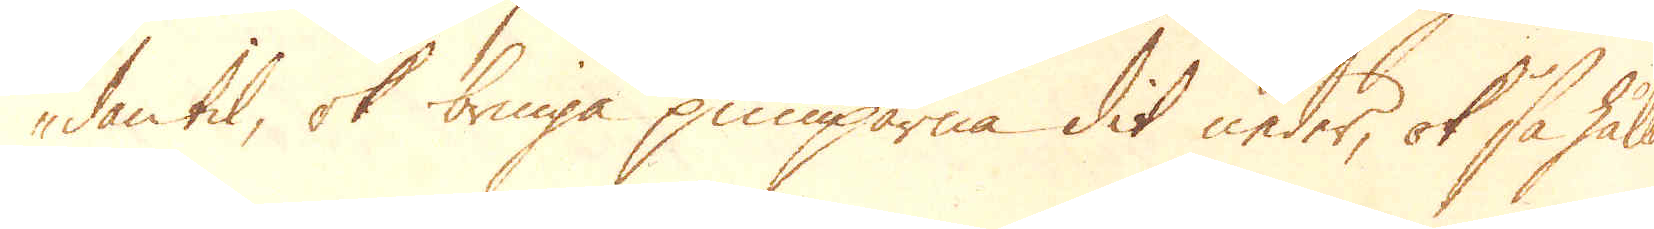dantil, ok bringa pumparna dit neder, ok så hålla
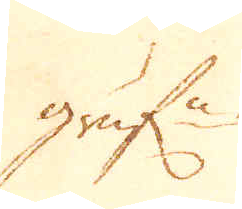gruf:n
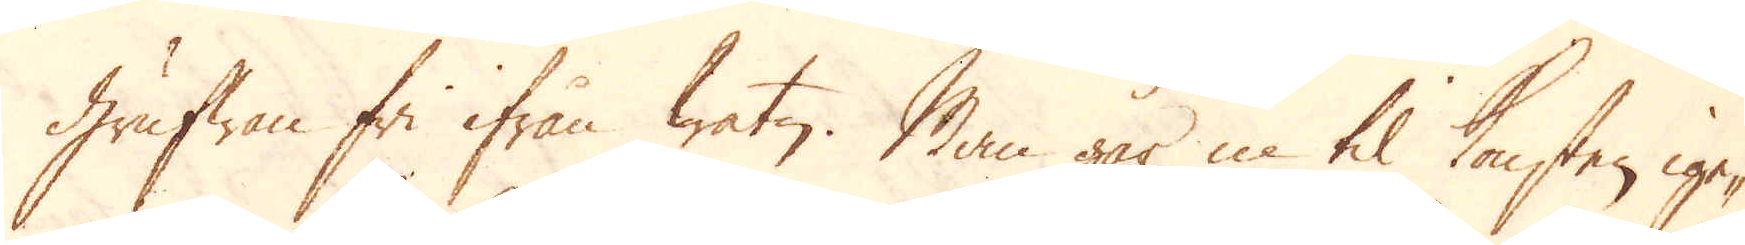Grufwan fri ifrån watn. Man går in til konsten ige-
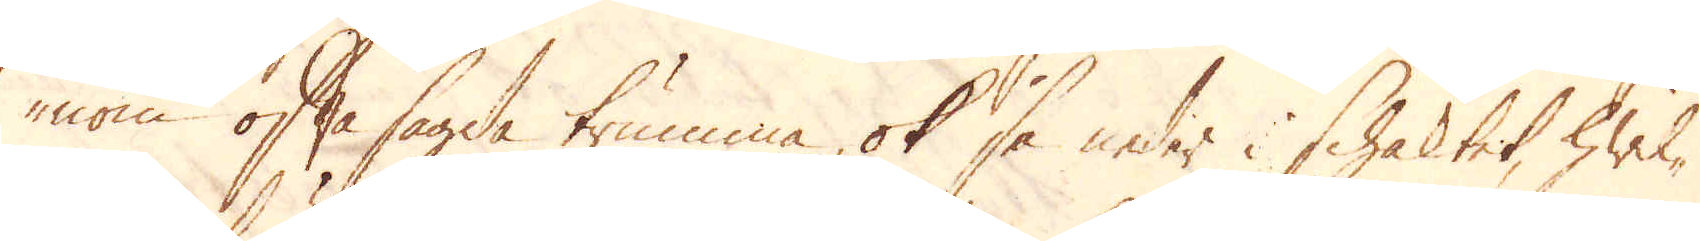nom oftasagde trumma, ok så neder i schaktet, hwil-
